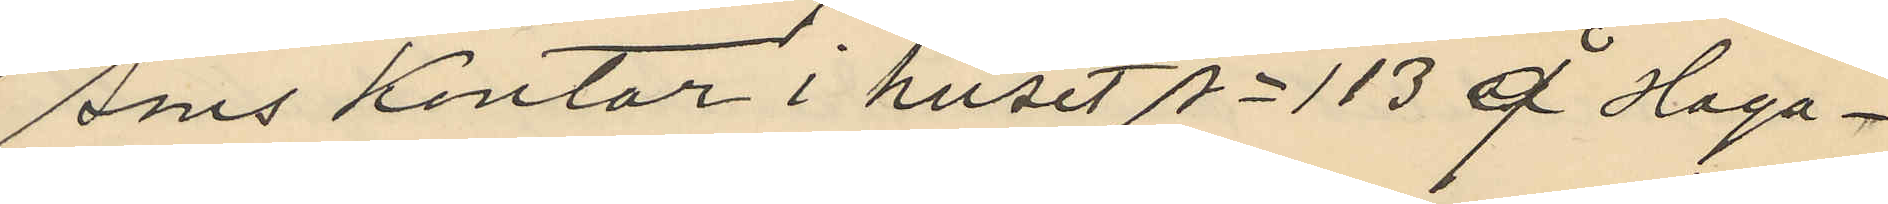sons kontor i huset No 113 å Haga¬
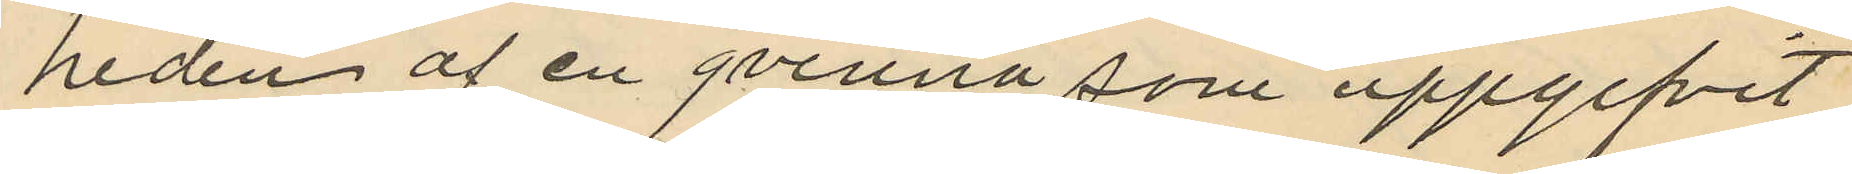heden af en qvinna som uppgifvit
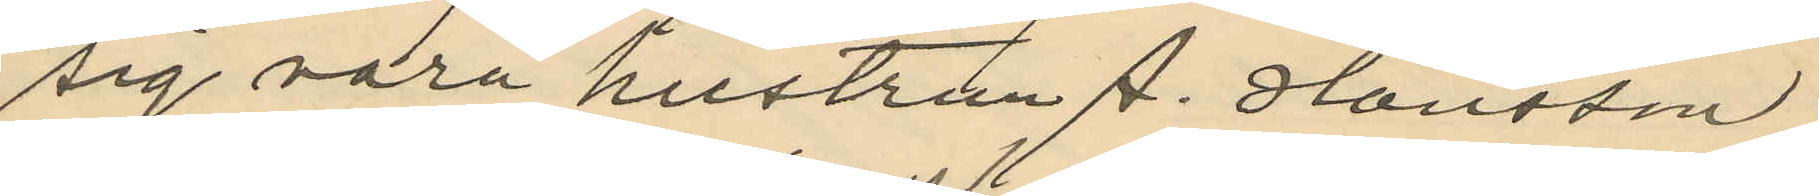sig vara hustrun A. Hansson
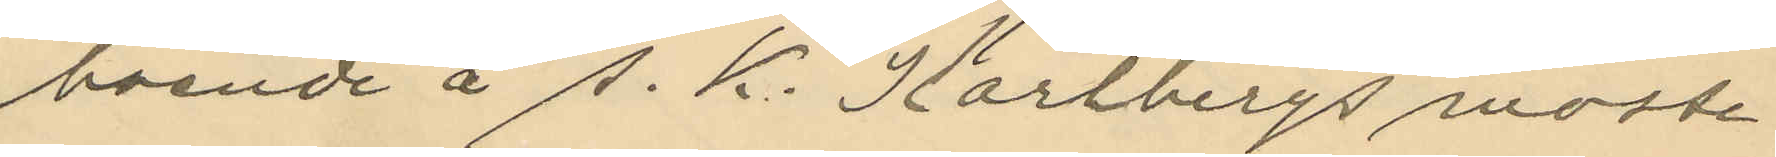boende å S. K. Karlbergs moste
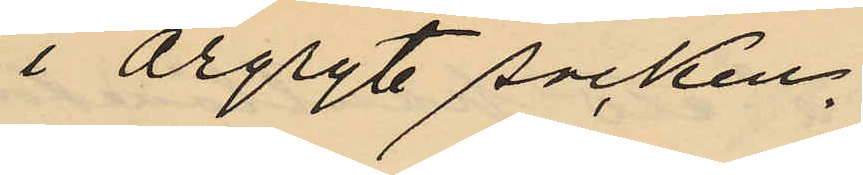i Örgryte socken.
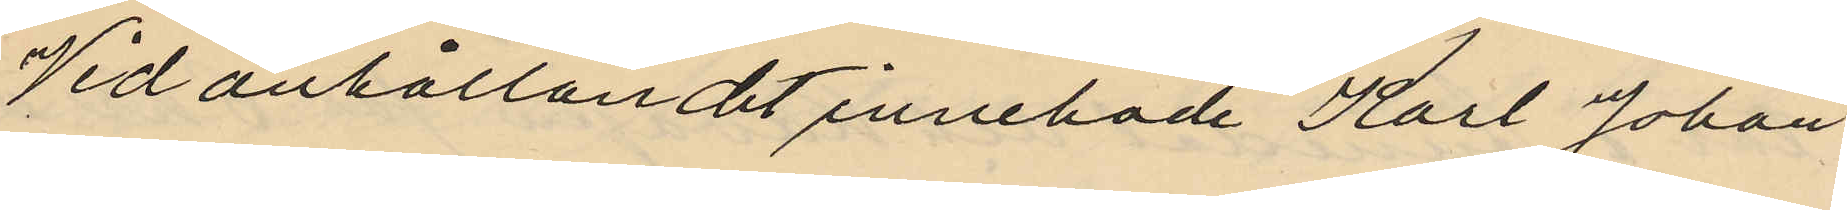Vid anhållandet innehade Karl Johan
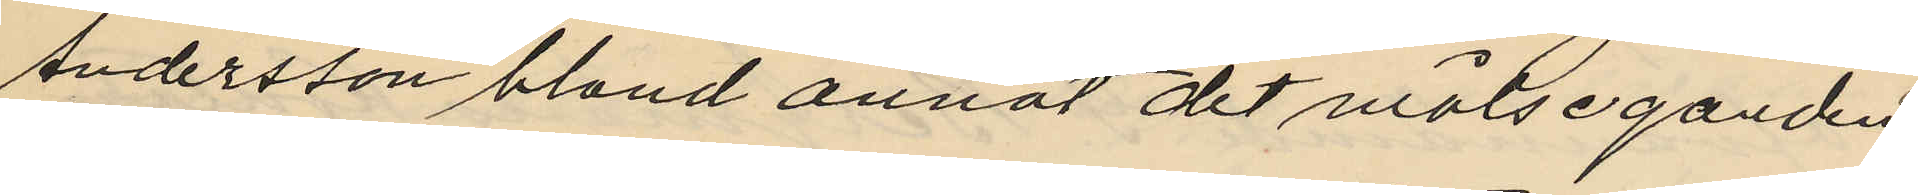Andersson bland annat det målseganden
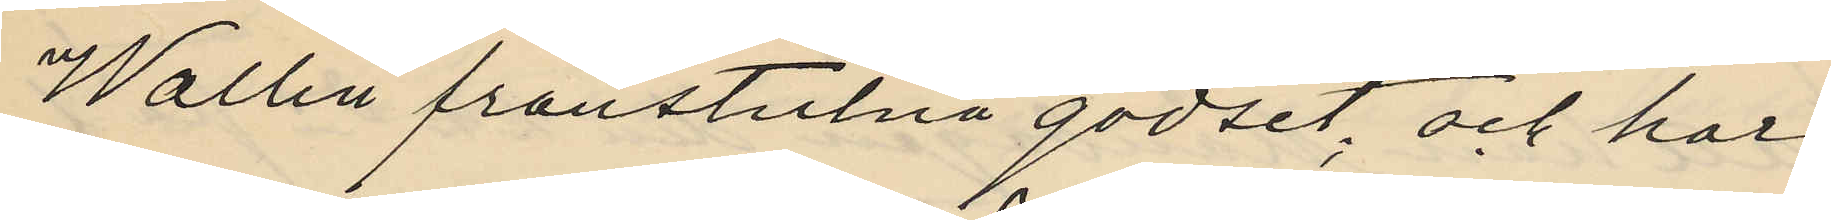Wallin frånstulna godset; och har
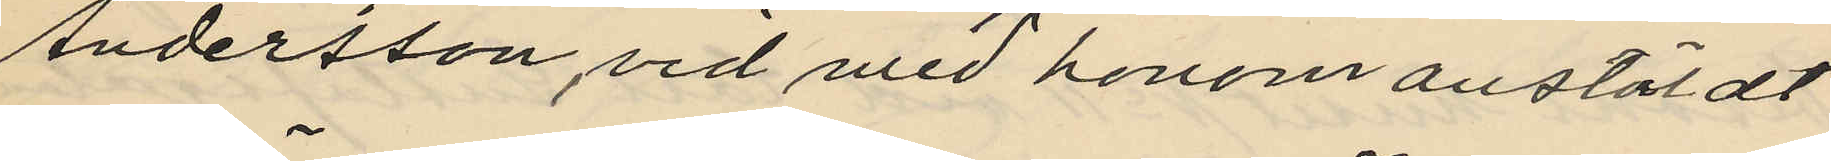Andersson, vid med honom anstäldt
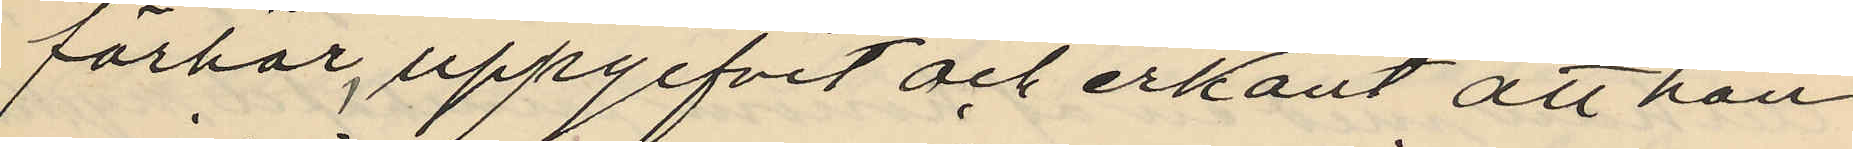förhör, uppgifvit och erkänt att han
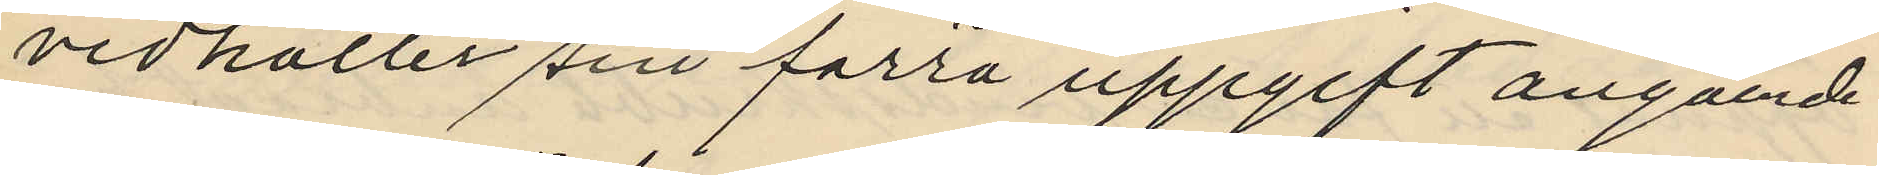vidhåller sin förra uppgift angående
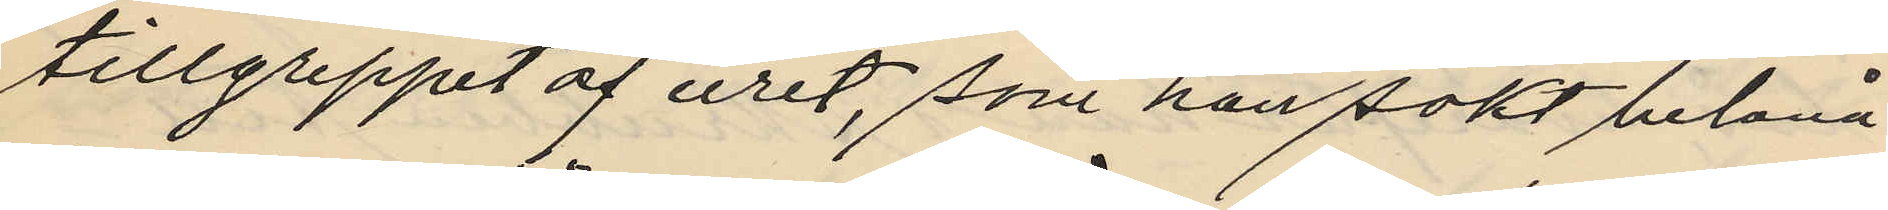tillgreppet af uret, som han sökt belåna
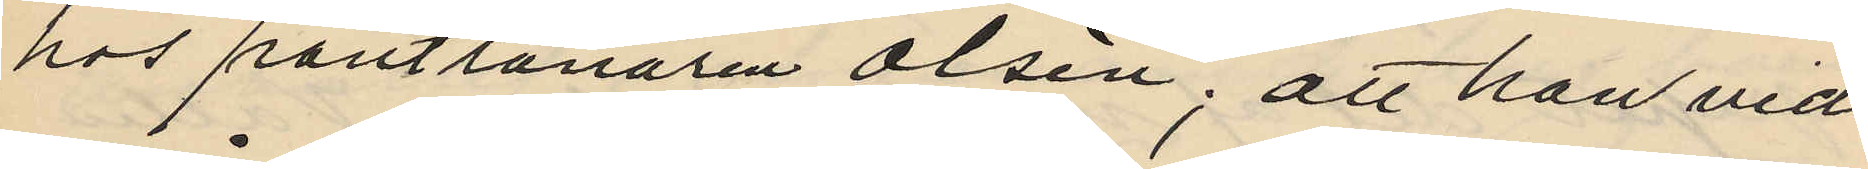hos pantlånaren Olsén; att han vid
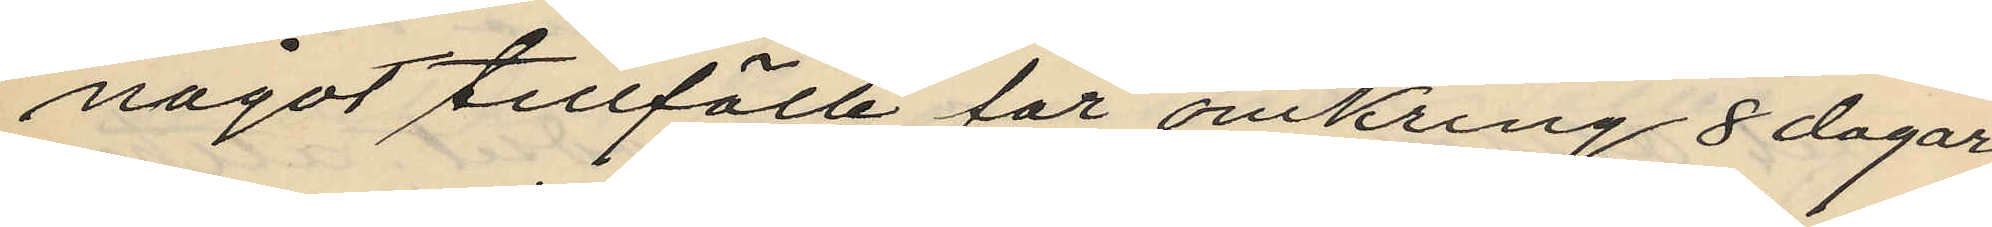något tillfälle för omkring 8 dagar
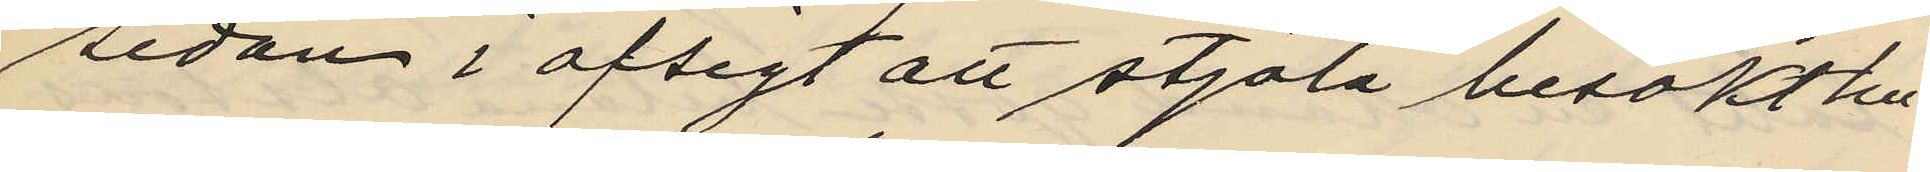sedan i afsigt att stjöla besökt hu¬
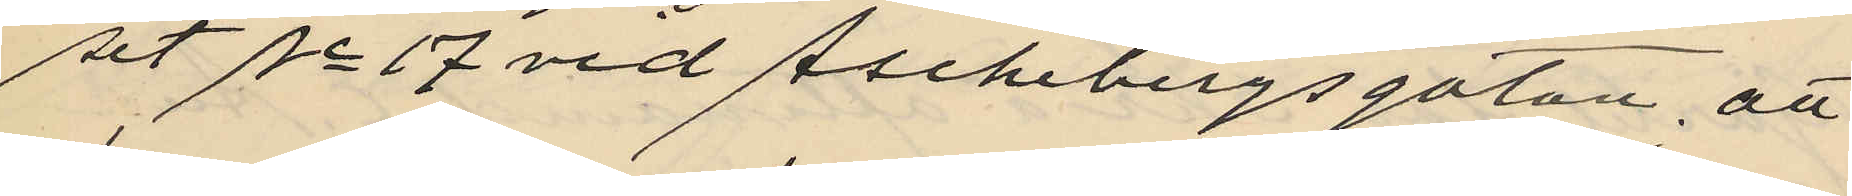set No 17 vid Aschebergsgatan, att
